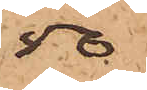50
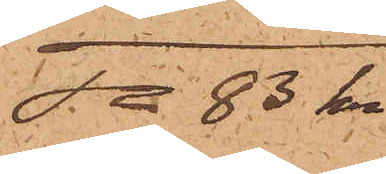Sa 83 kr.
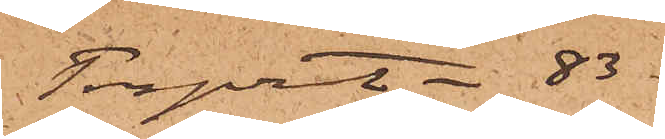Transport - 83
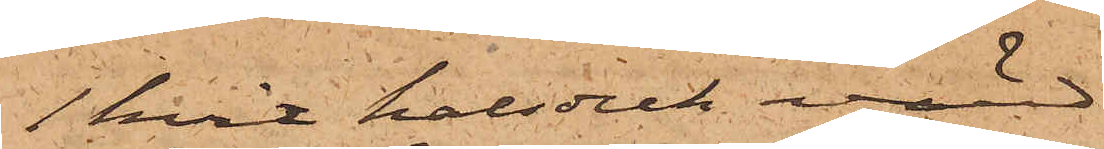1 hvit halsduk värd
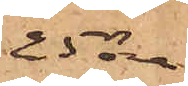25 öre
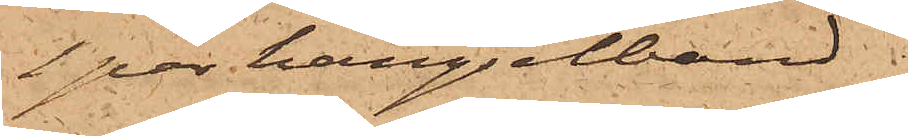1 par hängselband
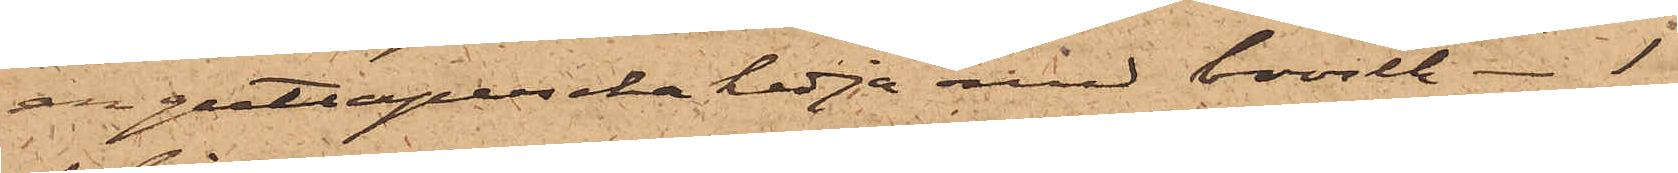en guttapercha kedja med brosch - 1
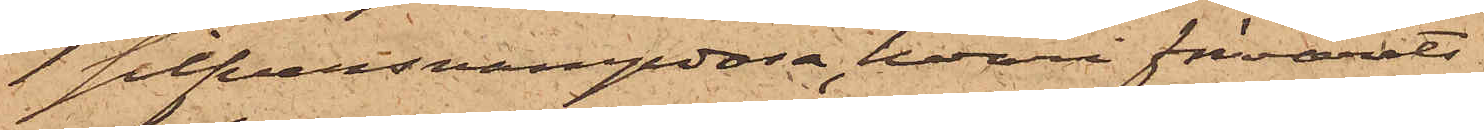1 silfversvampdosa, hvari förvarats
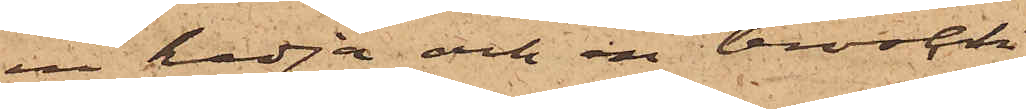en kedja och en brosch
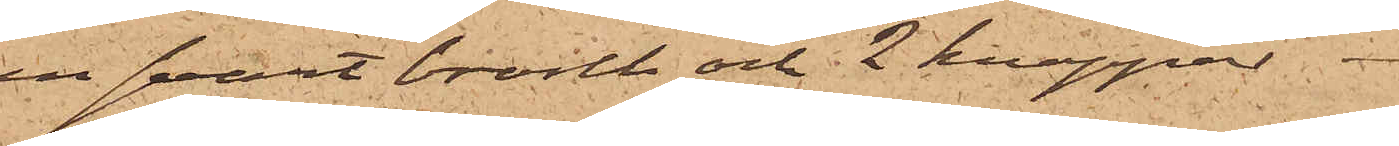en svart brosch och 2 knappar
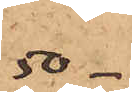50. 
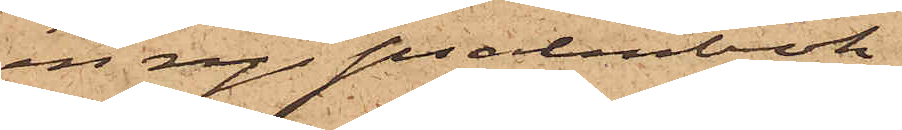en ny psalmbok
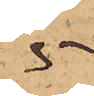5
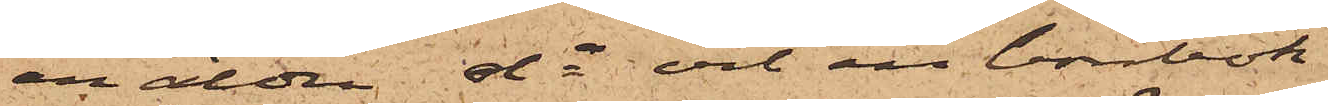en äldre do och en bönbok
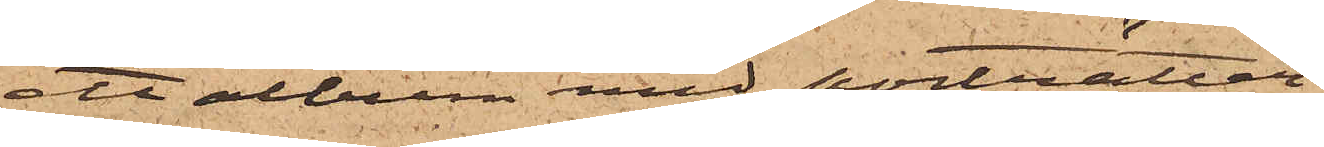ett album med porträtter
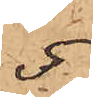5
